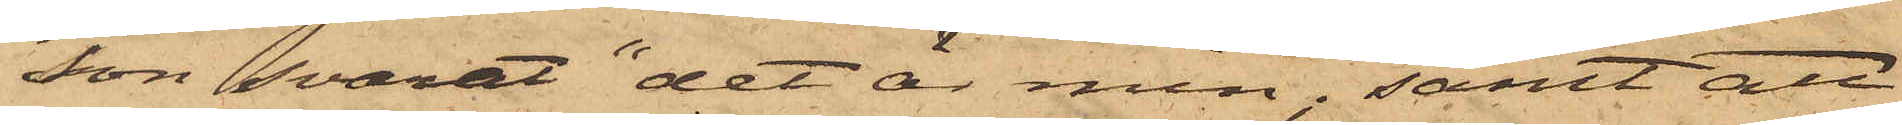son svarat "det är min"; samt att
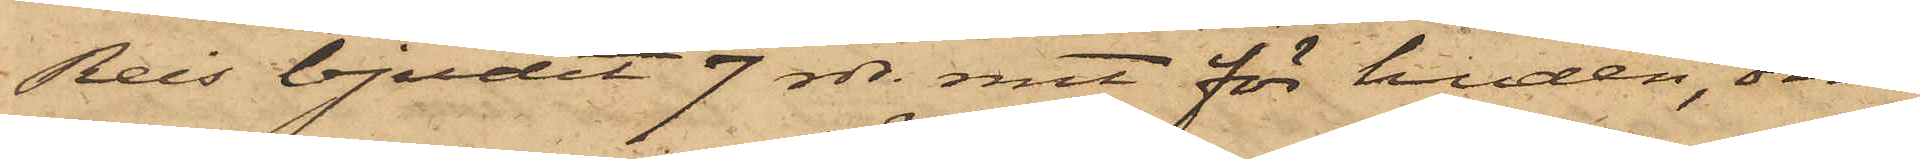Reis bjudit 7 rdr rmt för huden, om
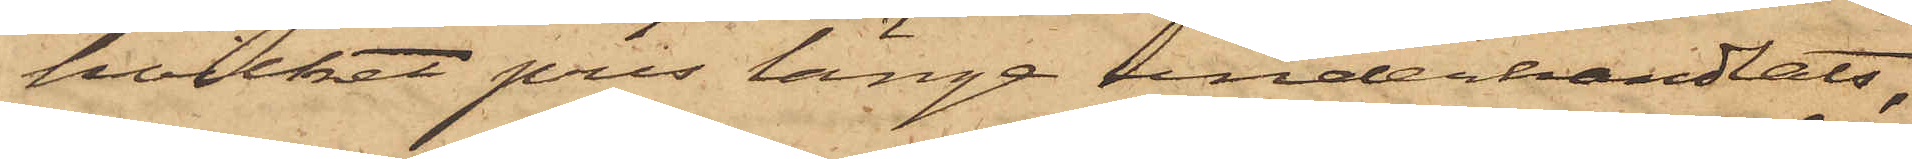hvilket pris länge underhandlats,
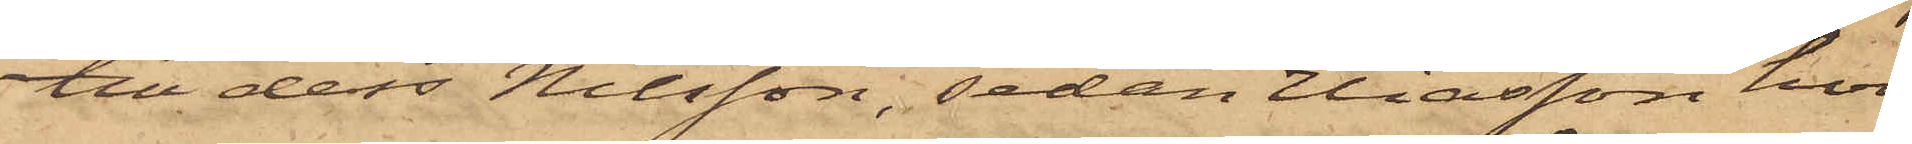till dess Nilsson, sedan Eliasson hvi¬
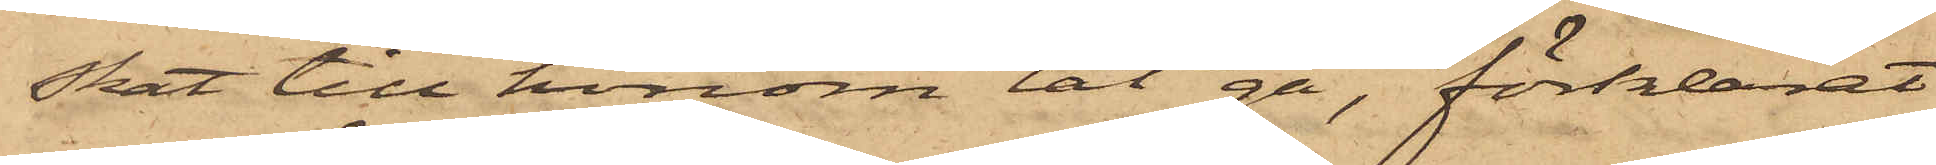skat till honom "låt gå", förklarat
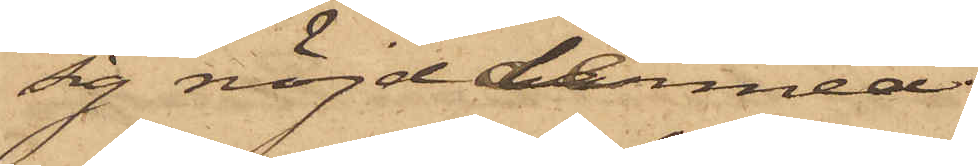sig nöjd dermed.
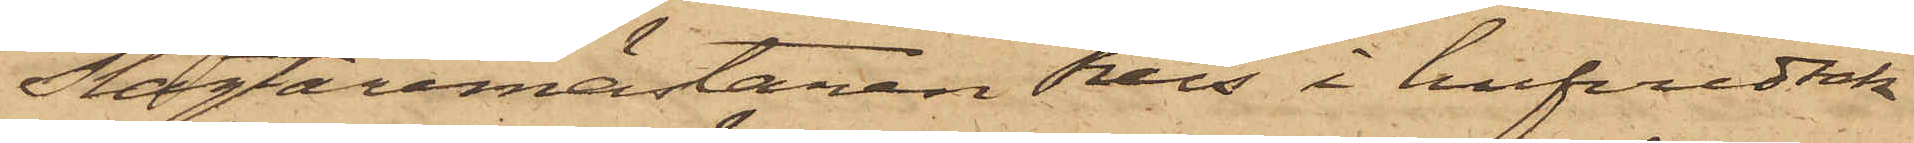Slagtaremästaren Reis i hufvudsak¬
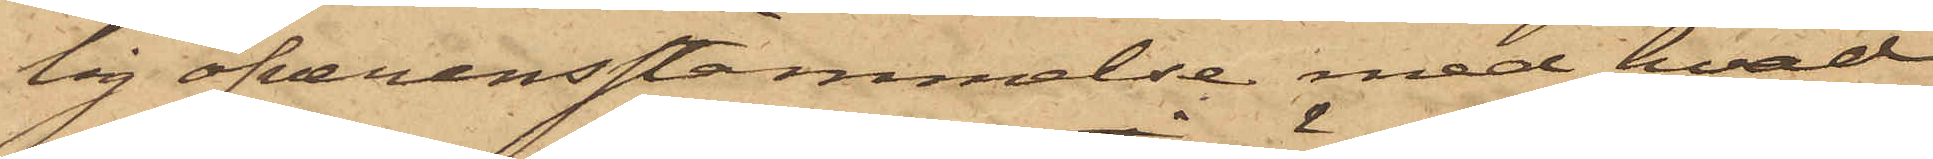lig öfverensstämmelse med hvad
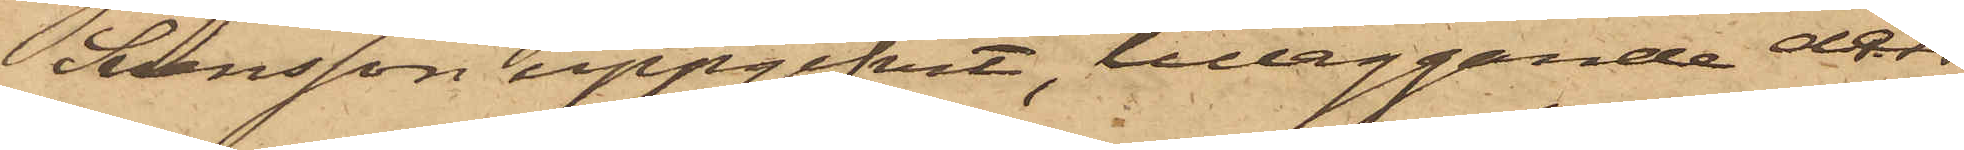Svensson uppgifvit, tilläggande dess¬
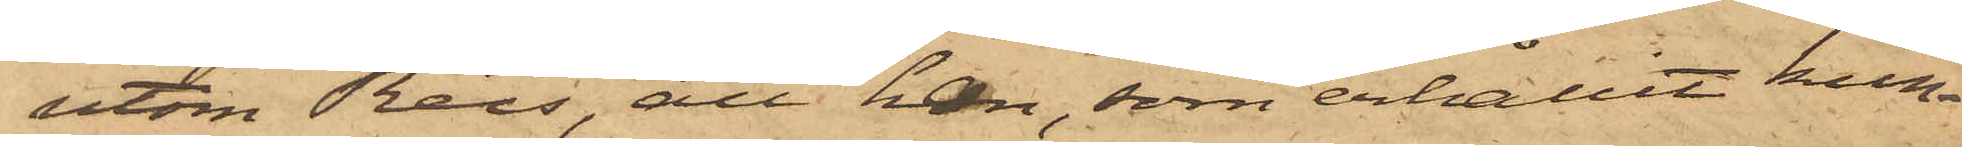utom Reis, att han, som erhållit kun¬
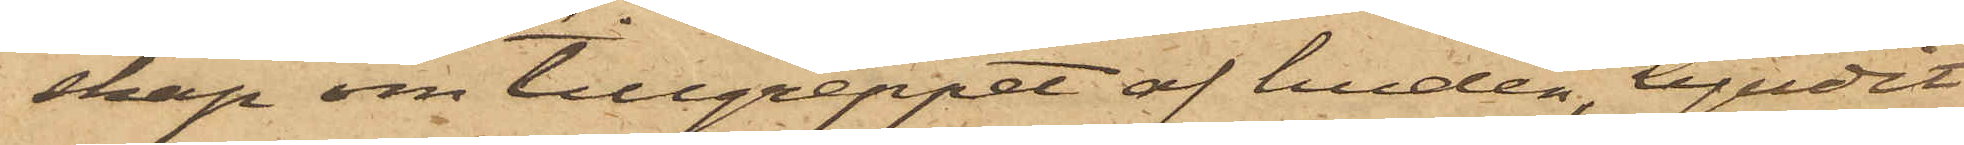skap om tillgreppet af huden, bjudit
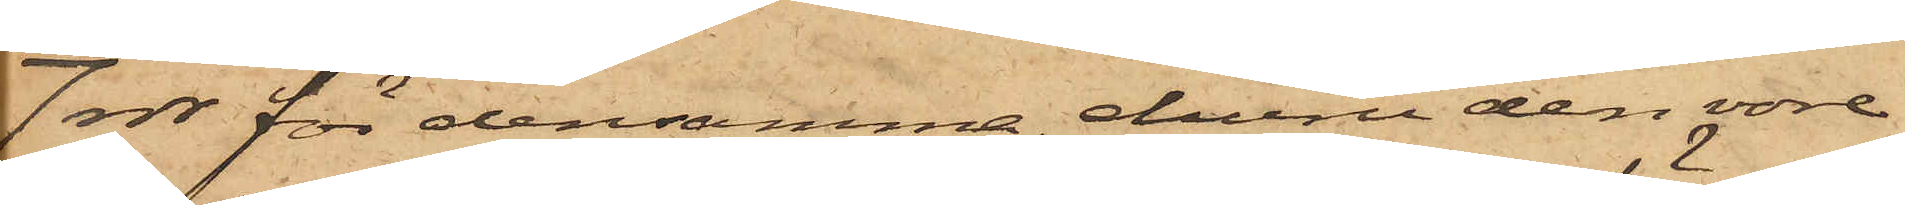7 rdr för densamma, ehuru den vore
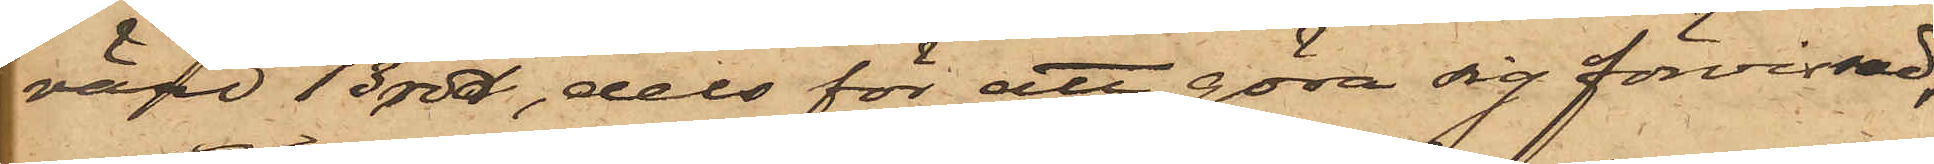värd 13 rdr, dels för att göra sig förvissad,
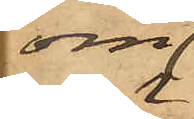om
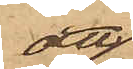att
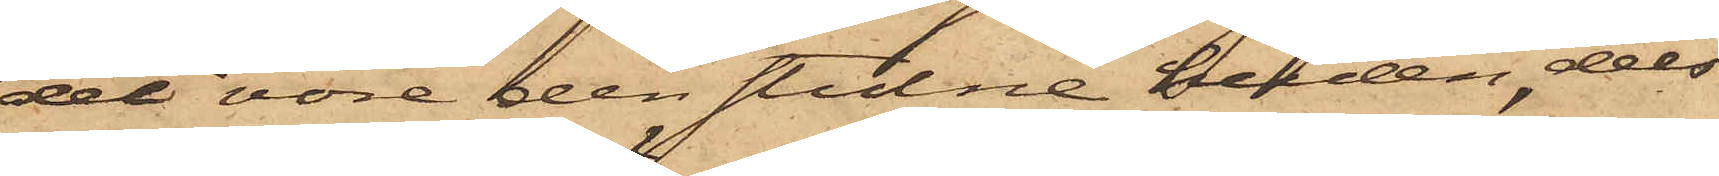det vore den stulne huden, dels
